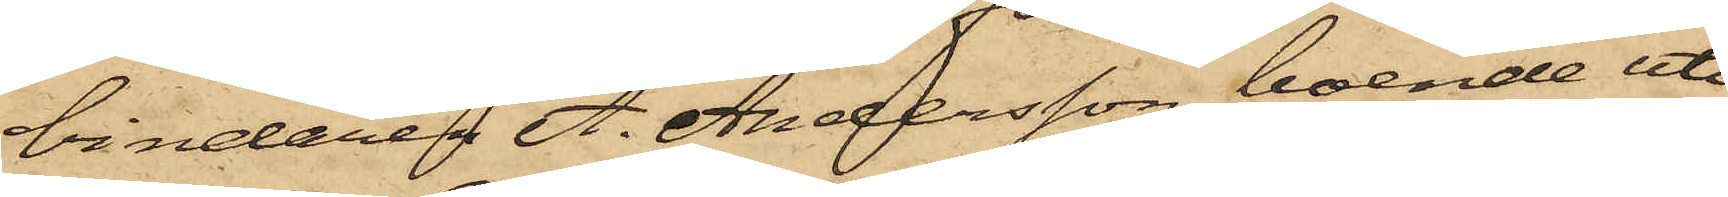bindaren A. Andersson, boende uti
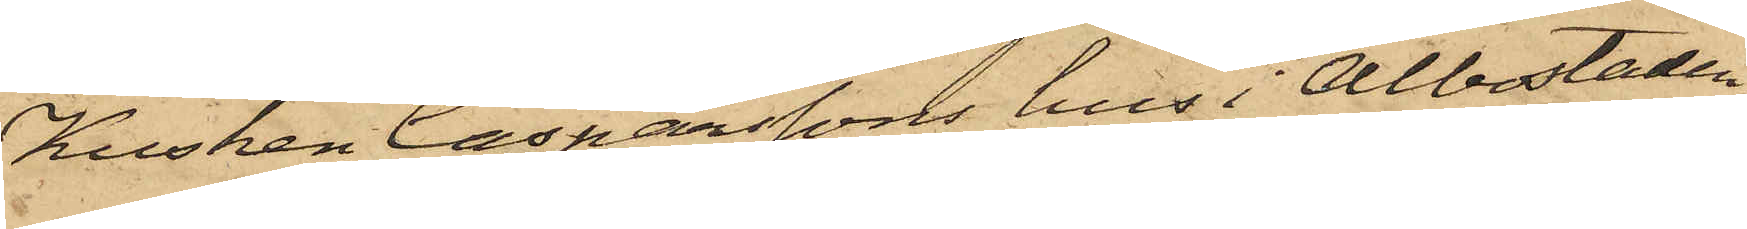Kusken Casparssons hus i Albostaden,
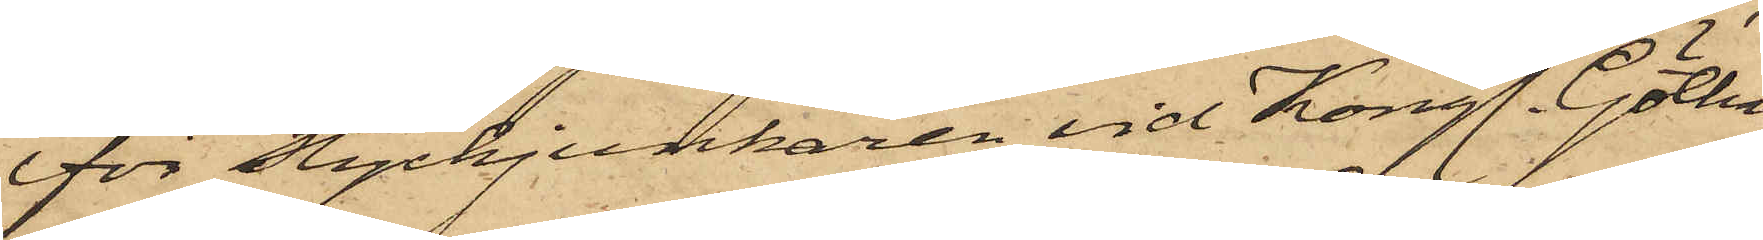för Styckjunkaren vid Kongl. Götha
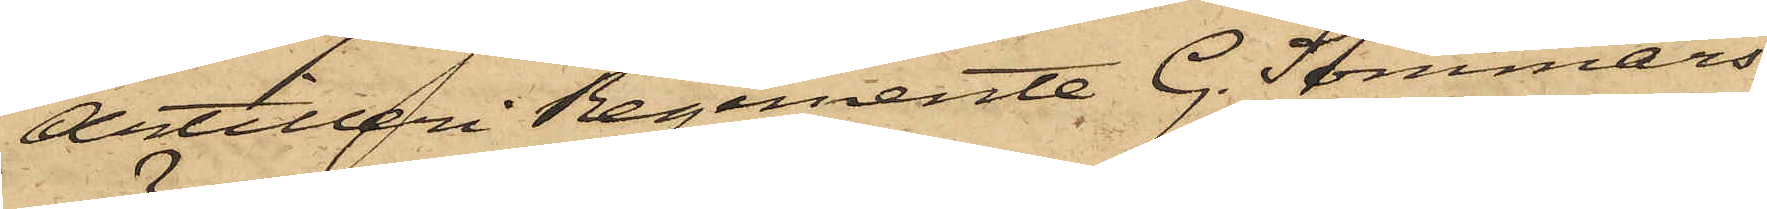Artilleri Regemente G. Sommars
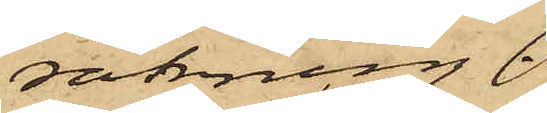räkning.
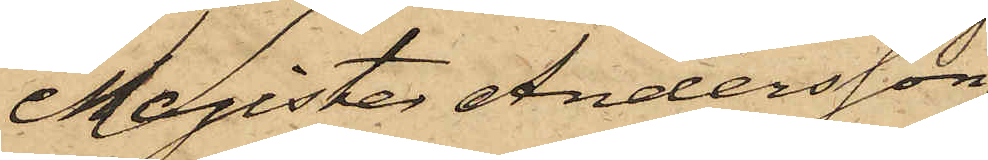Magister Andersson
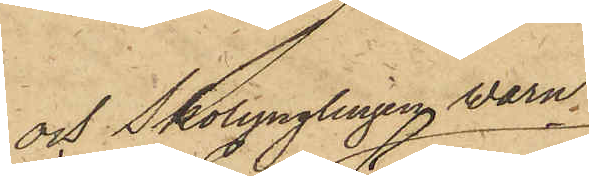och Skolynglingen Wærn,
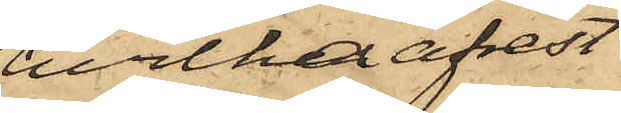hvilka afrest
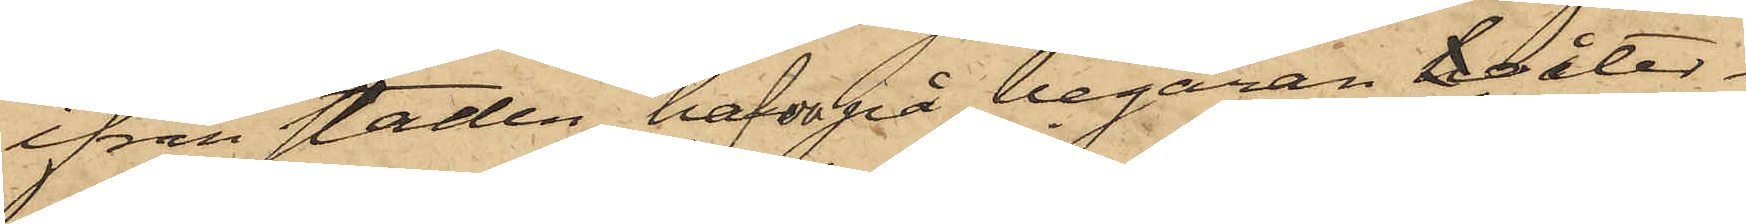ifrån staden, hafva på begäran ho åter¬
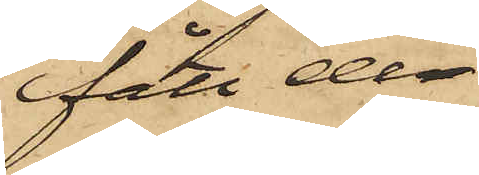fått de
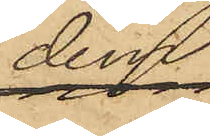dem
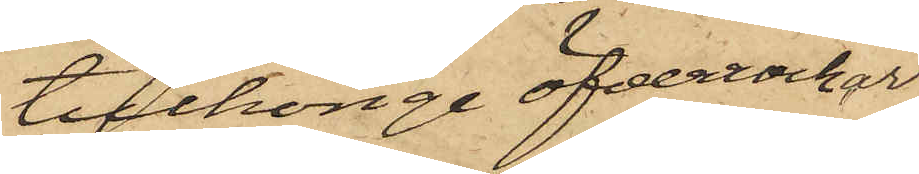tillhörige öfverrockar
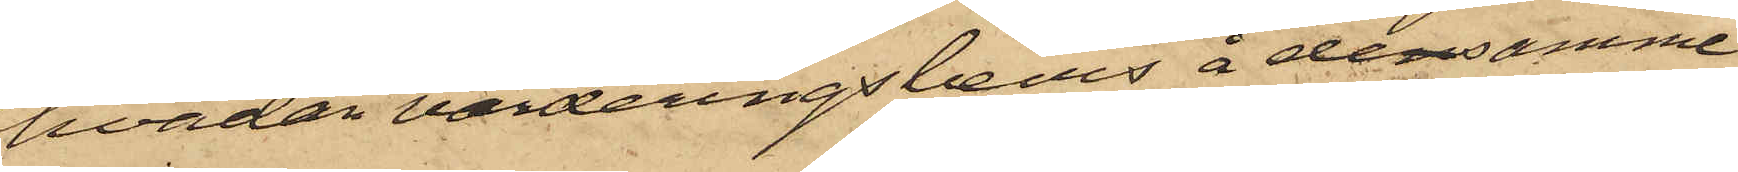hvadan värderingsbevis å densamma
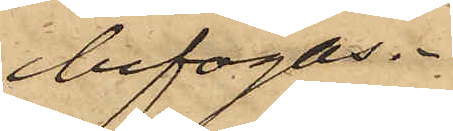bifogas.
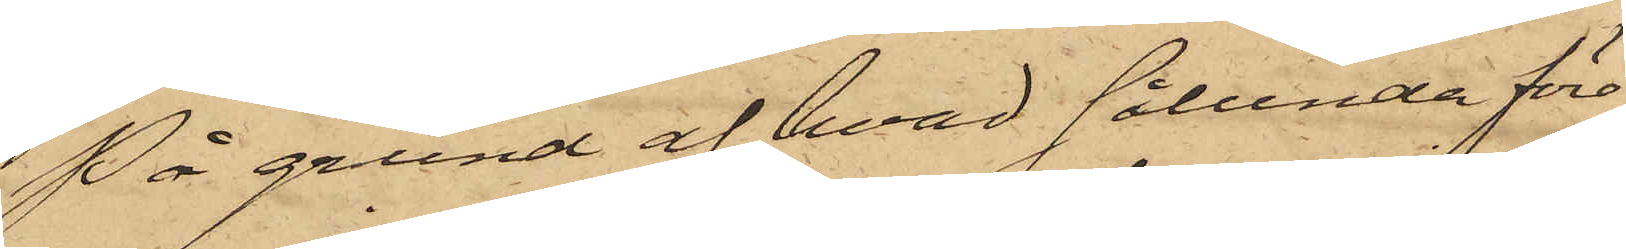På grund af hvad sålunda före¬
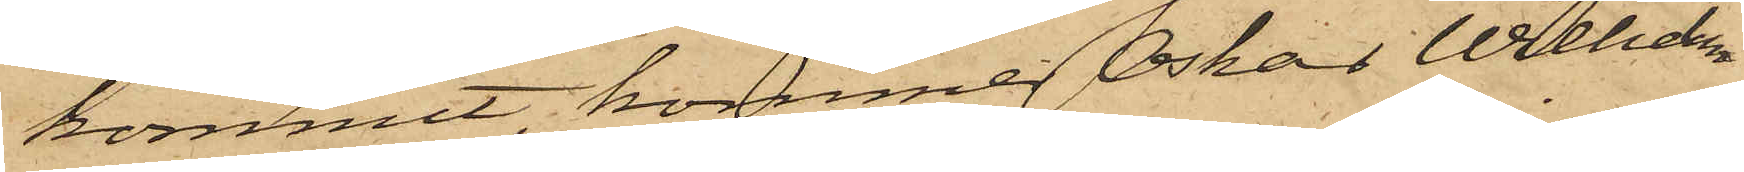kommit,kommer Oskar Wilhelm
